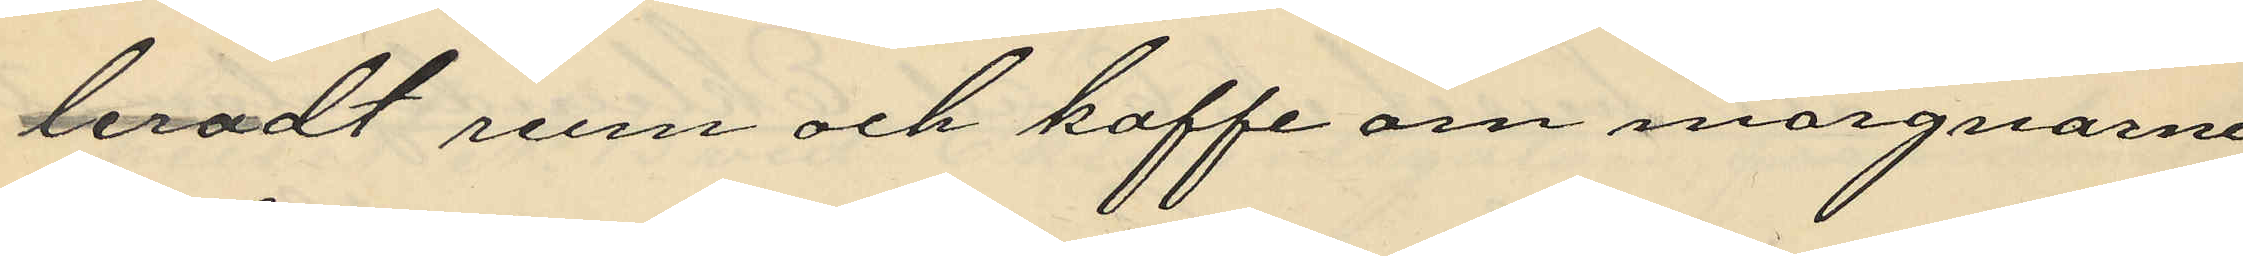leradt rum och kaffe om morgnarne
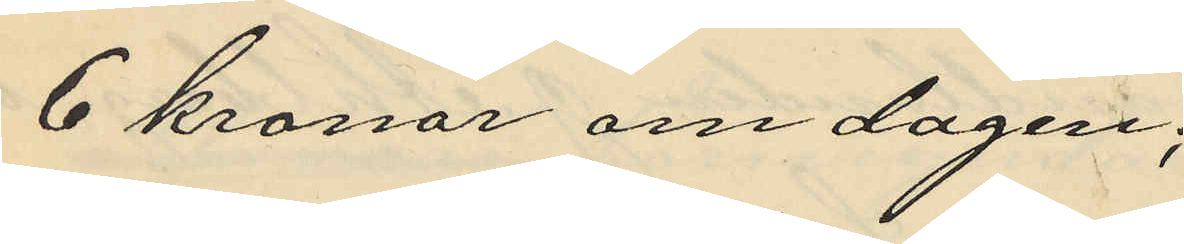6 kronor om dagen;
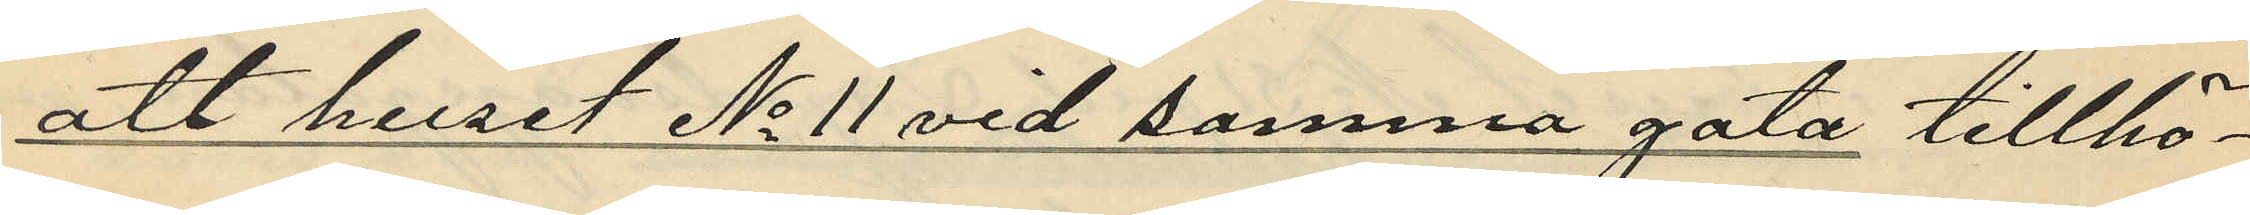att huset No 11 vid samma gata tillhö¬
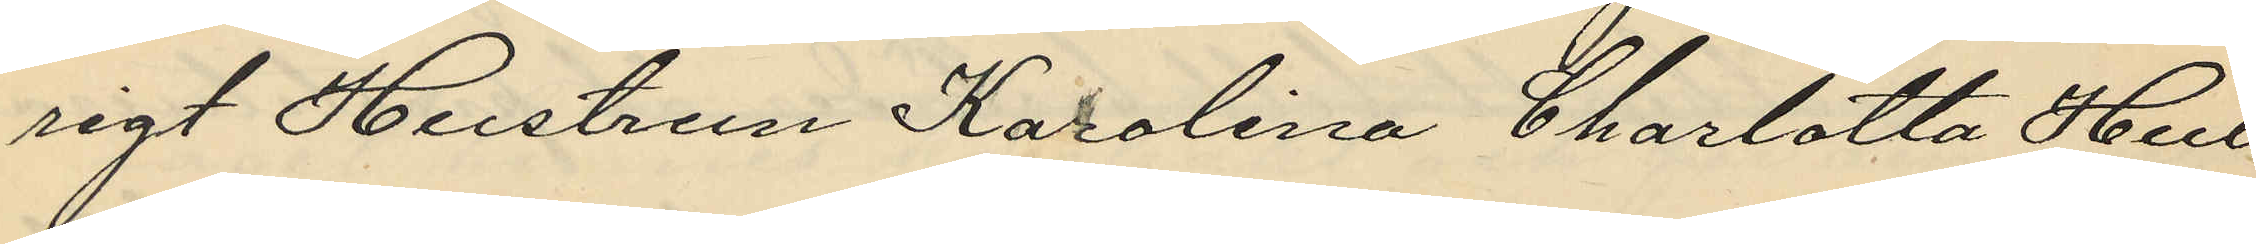rigt Hustrun Karolina Charlotta Hul¬
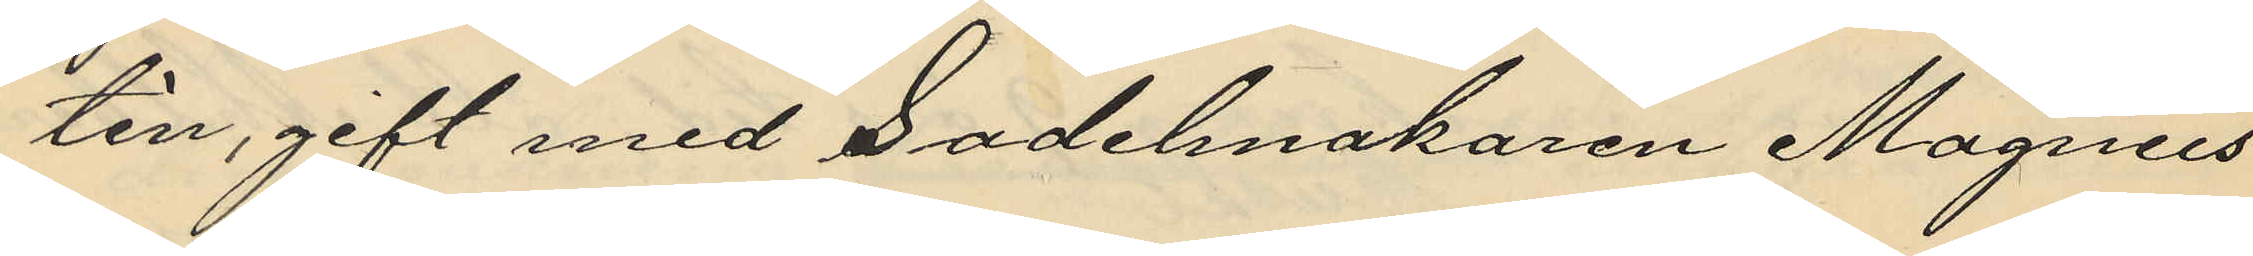tin, gift med Sadelmakaren Magnus
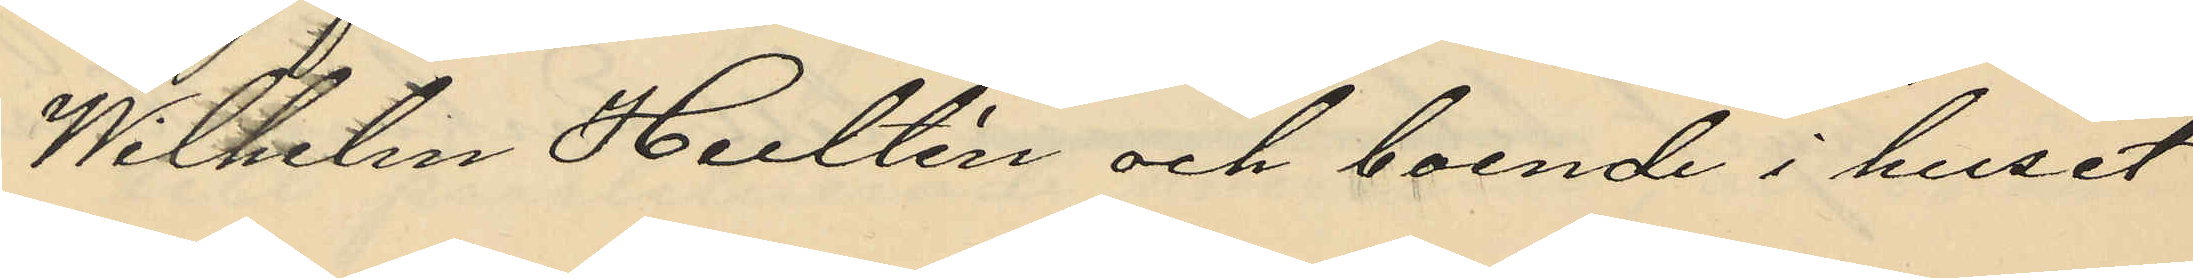Wilhem Hultén och boende i huset
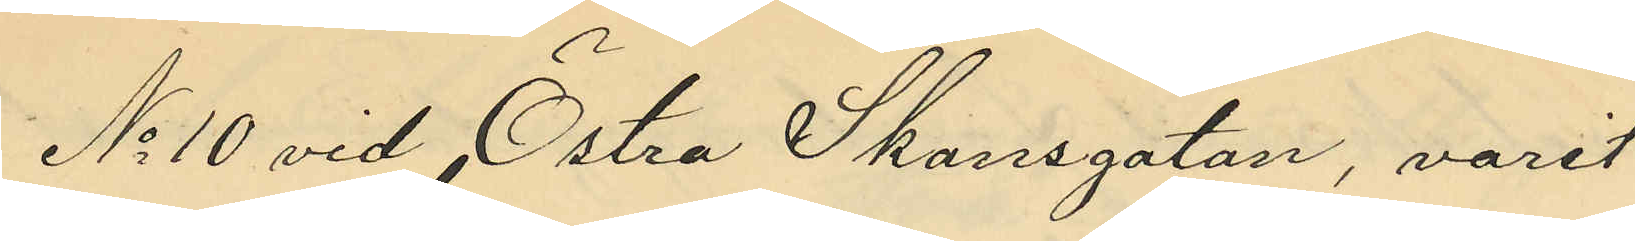No 10 vid Östra Skansgatan, varit
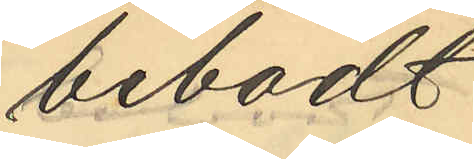bebodt
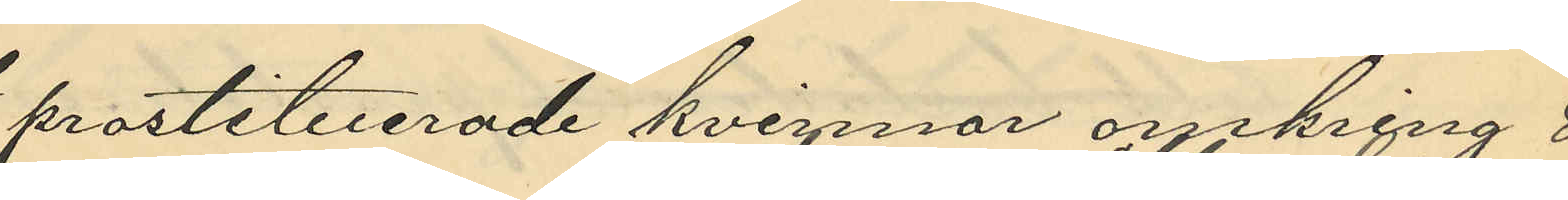prostituerade kvinnor omkring 8
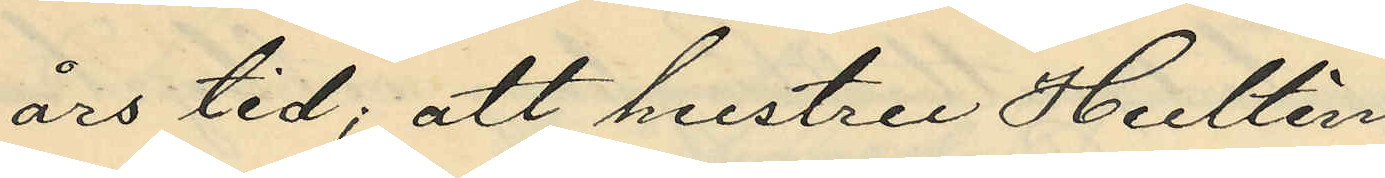års tid; att hustru Hultén
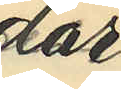där
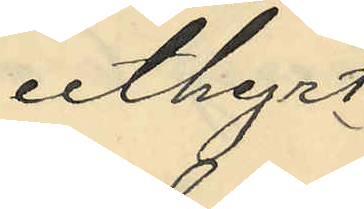uthyrt
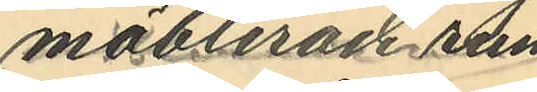möblerade rum
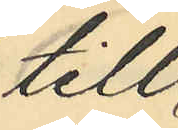till
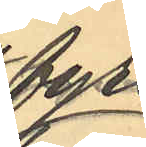fyra
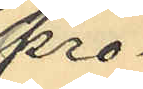pro¬
